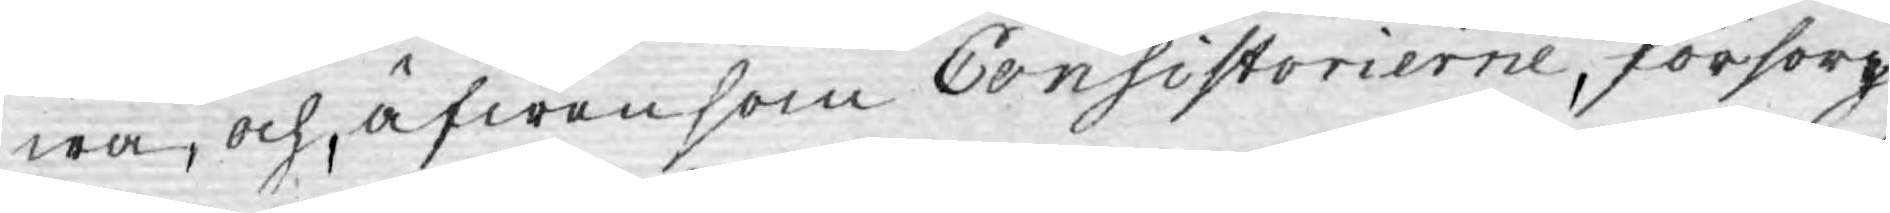wa, och, äfwensom Consistorierne, försorg
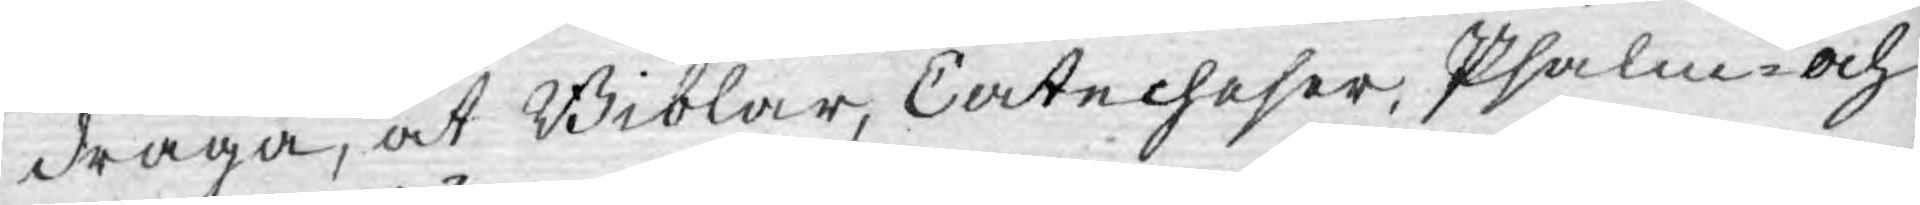draga, at Biblar, Catecheser, Psalm- och
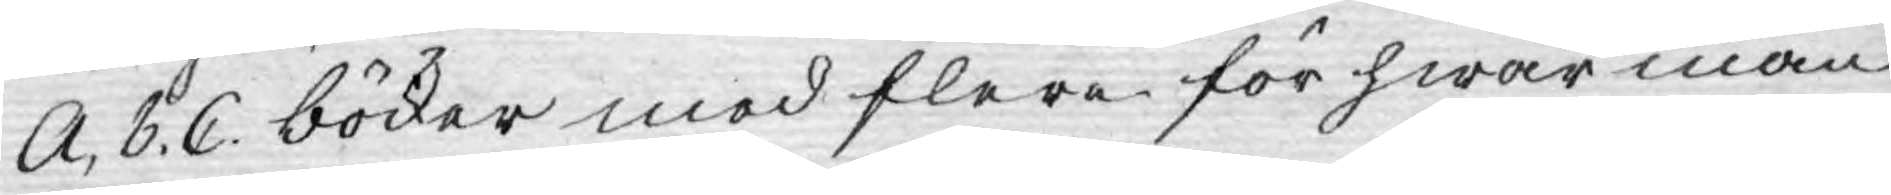A, B. C. böcker med flere för hwar man
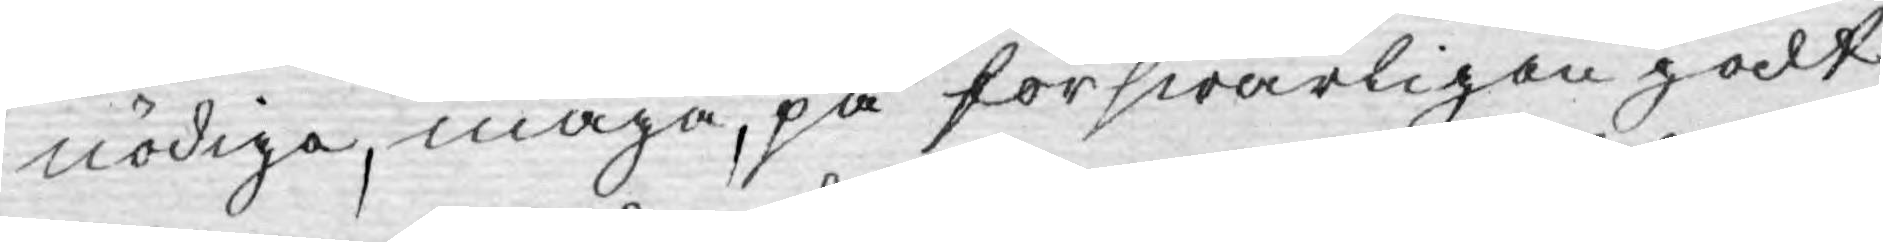nödiga, måge, på förswarligen godt
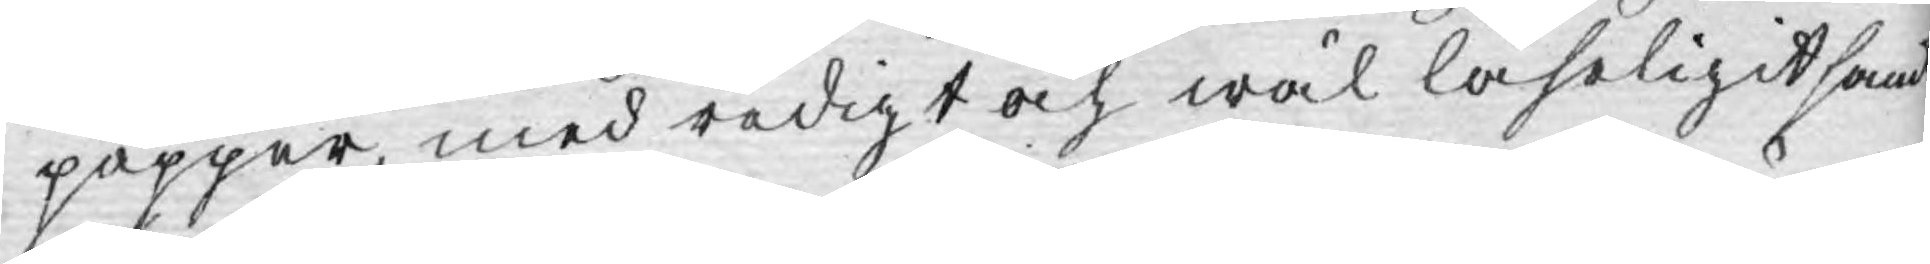papper, med redigt och wäl läseligit hand
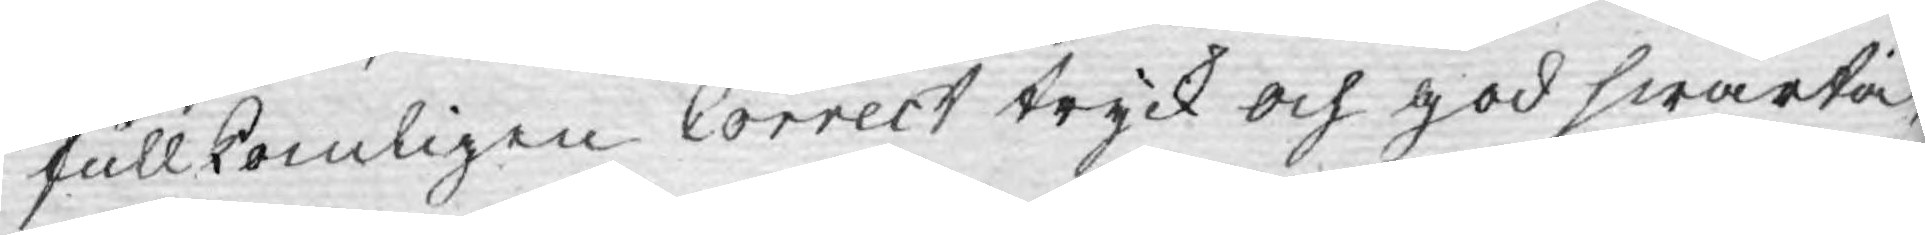fullkomligen Correct tryck och god swärta,
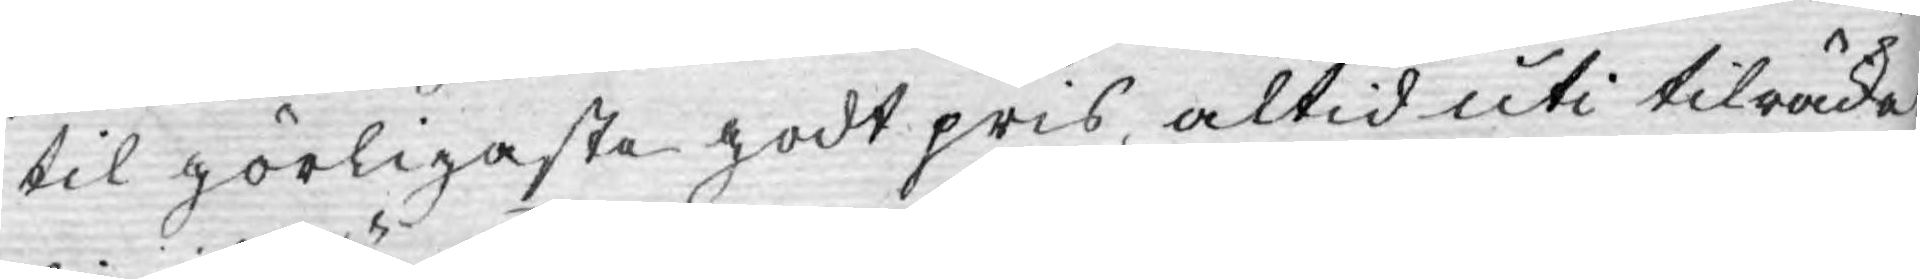til görligaste godt pris, altid uti tilräcke¬
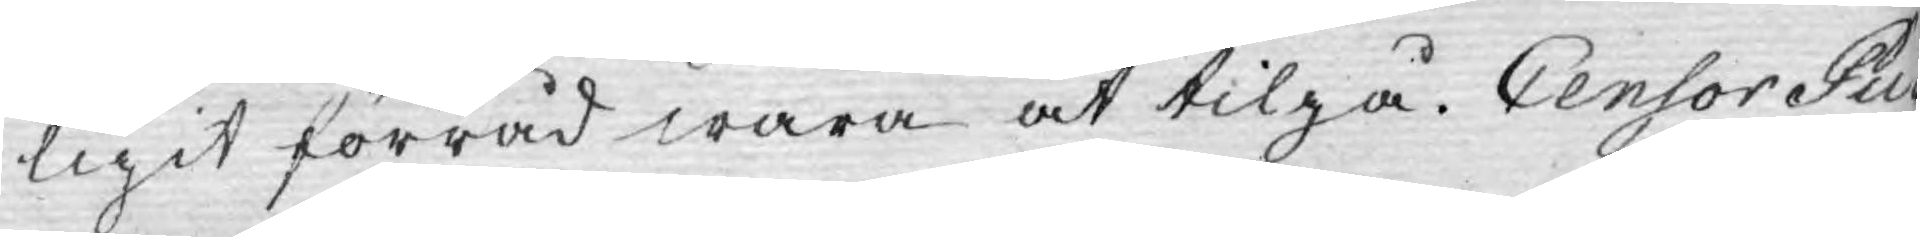ligit förråd wara at tilgå. Censor Pu¬
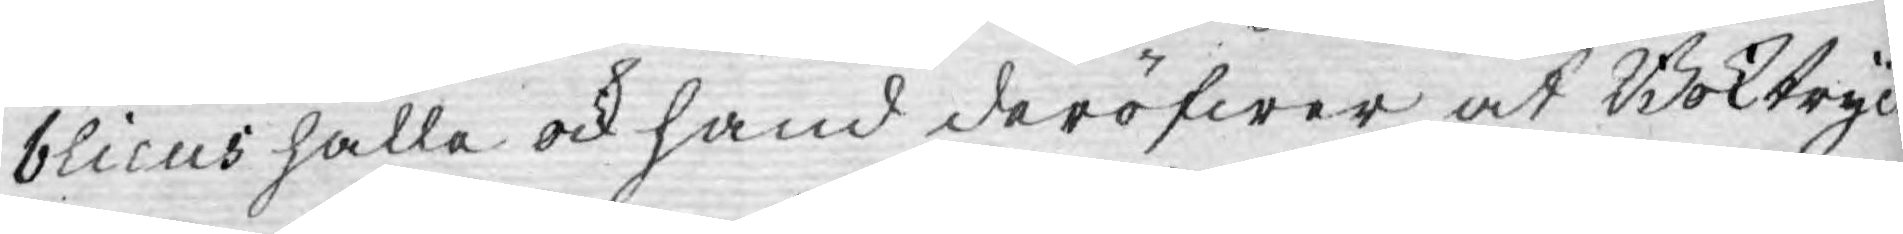blicus hålla ock hand deröfwer at Boktryc¬
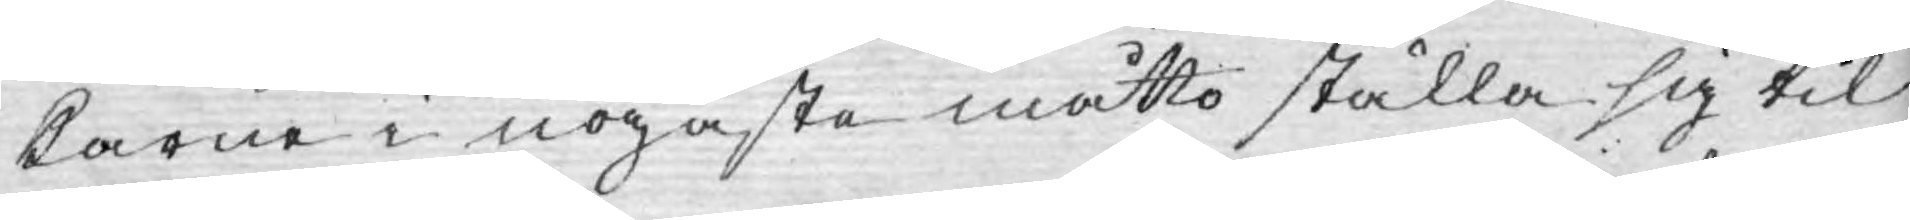karne i nogaste måtto ställa sig til
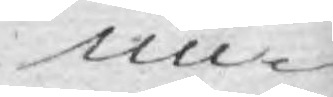un¬
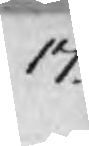17.
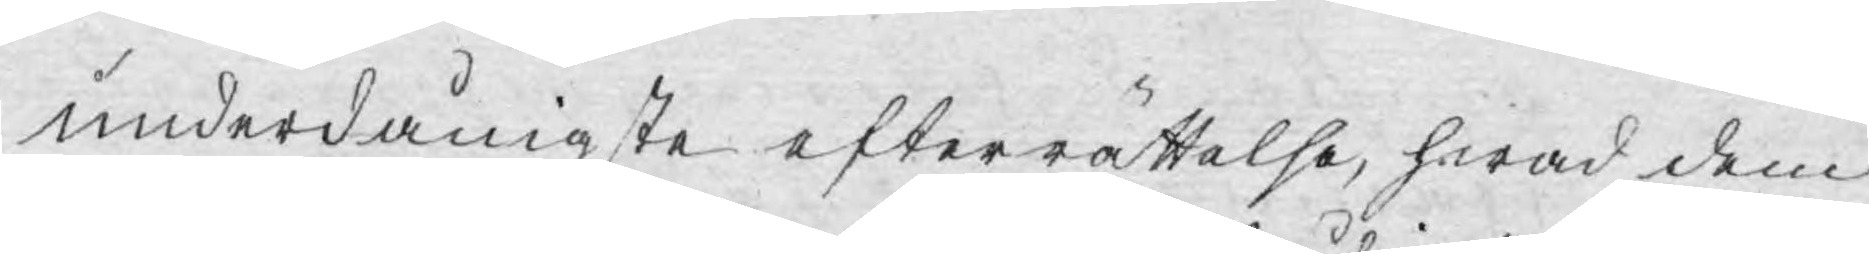underdånigste efterrättelse, hwad dem
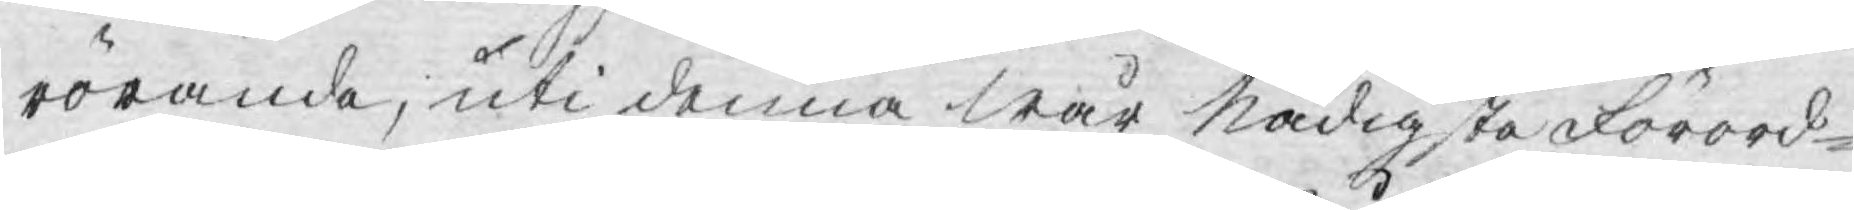rörande, uti denna wår Nådigste Förord¬
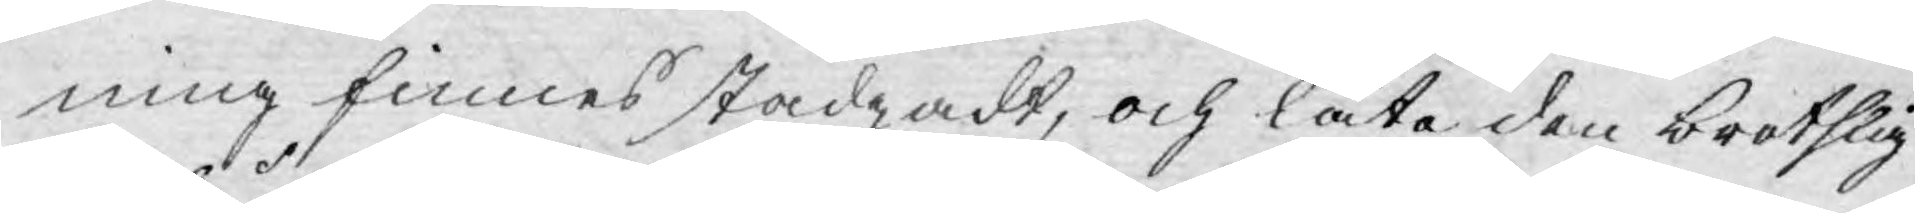ning finnes stadgadt, och låta den brotslig
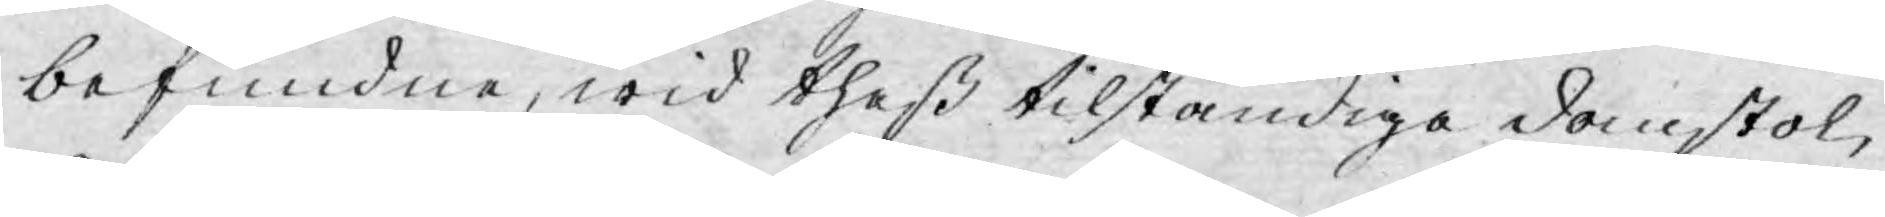befundne, wid theß tilständiga domstol,
